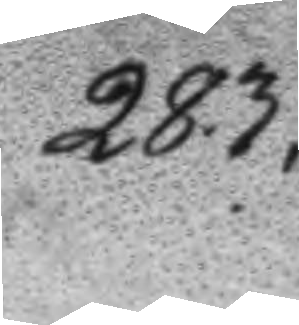283.
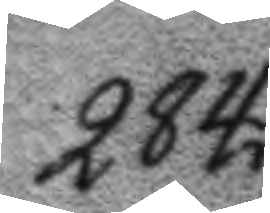284.
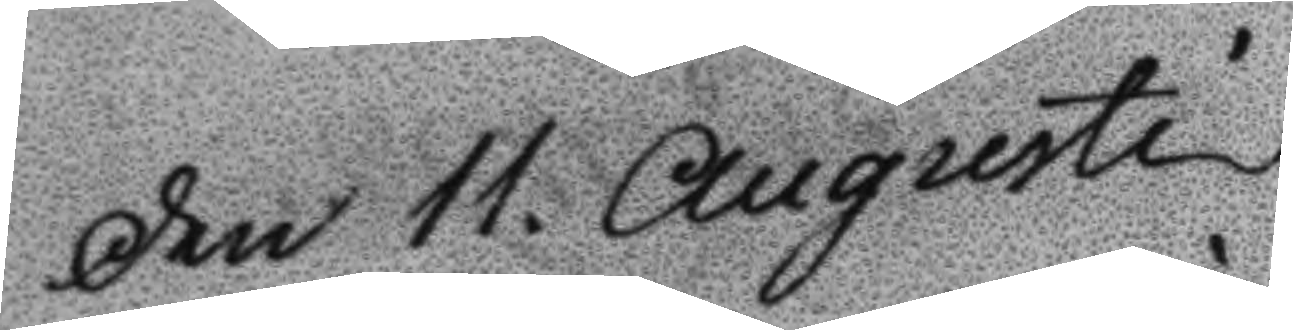Den 11. Augusti
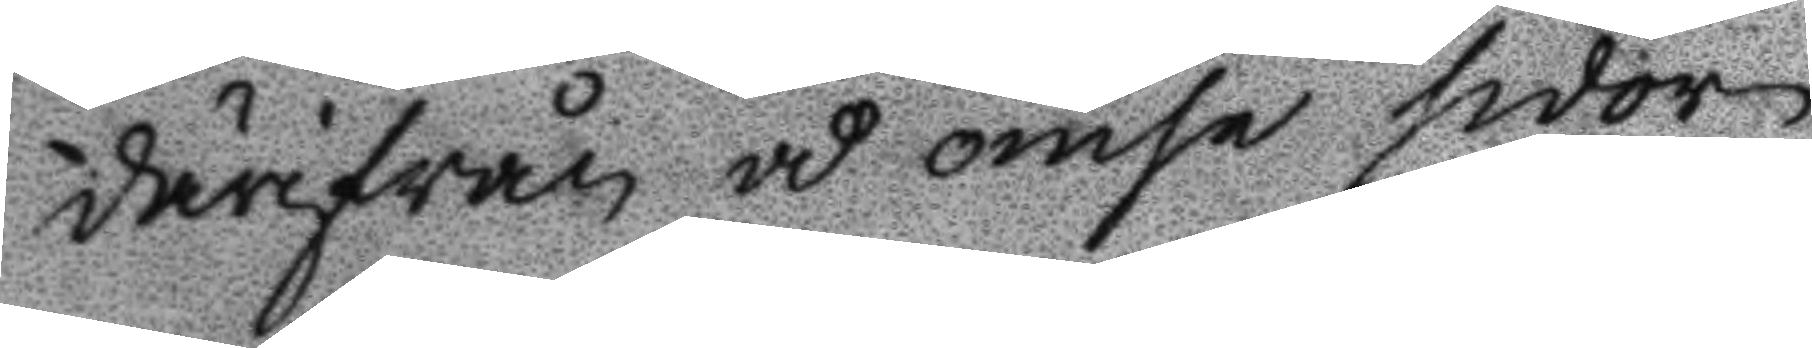därifrån å ömse sidor
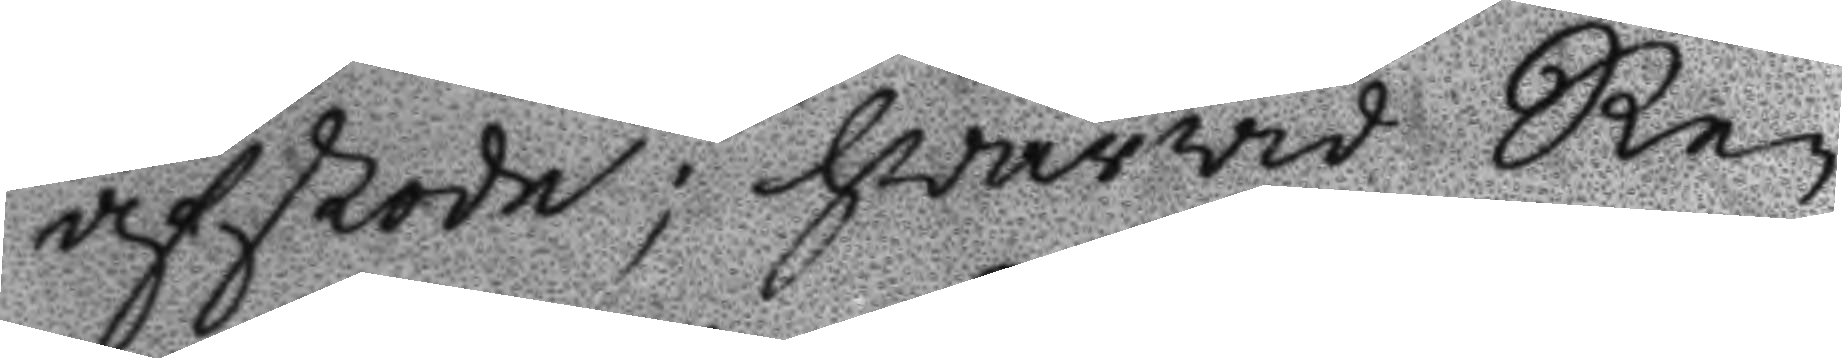afskode; hwarwid Re¬
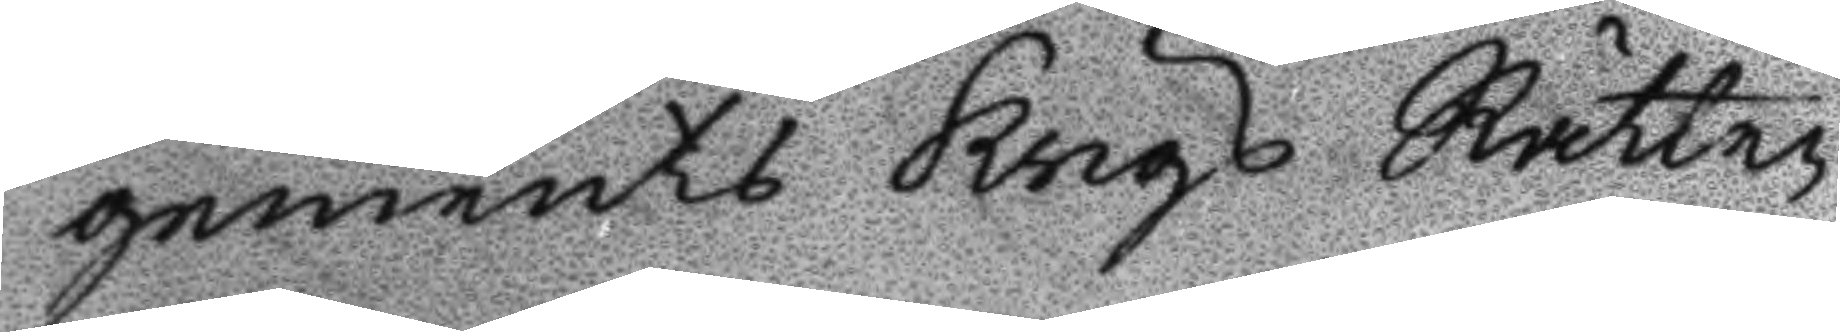gements Krigs Rätten
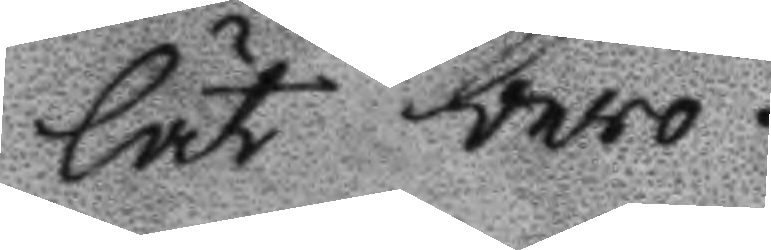lät bero.
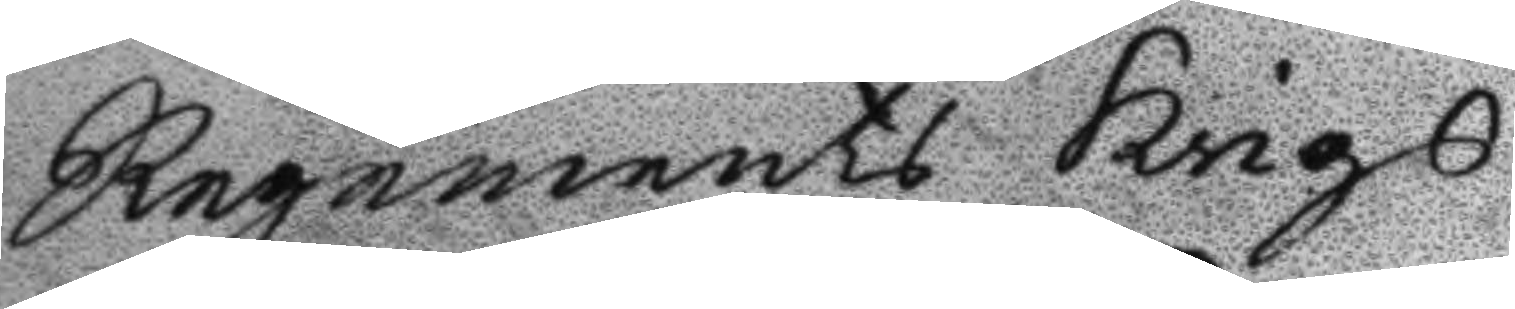Regements Krigs
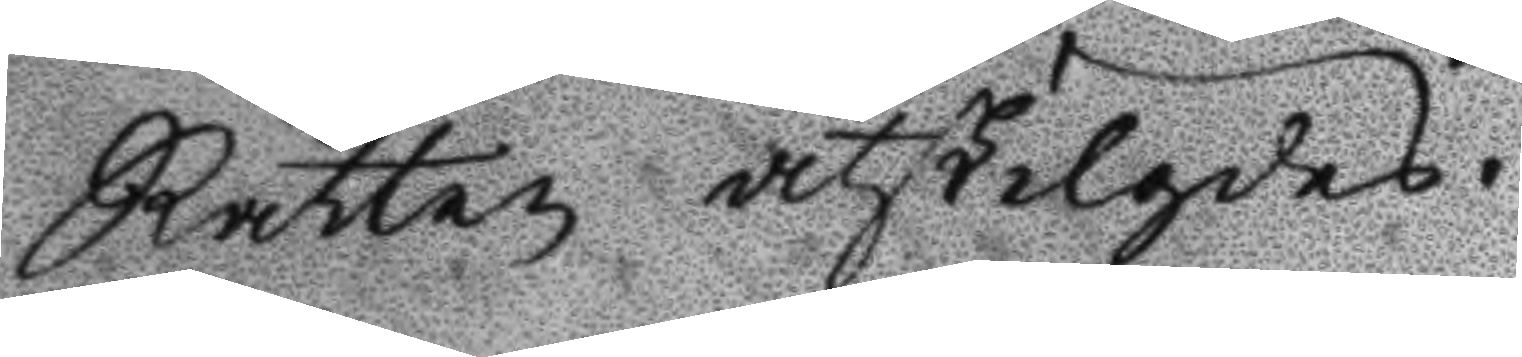Rätten åtskilgdes.
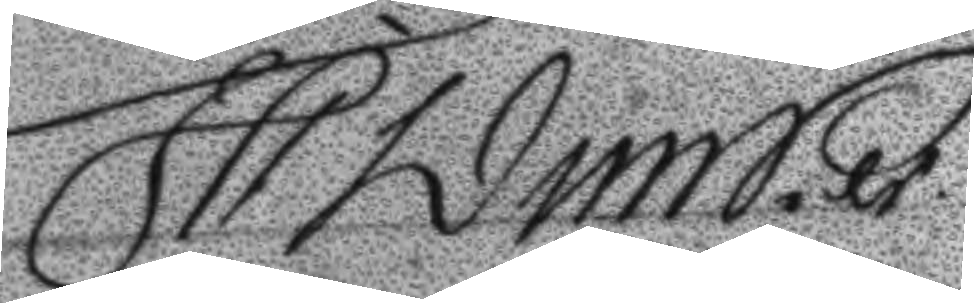JP Dunker
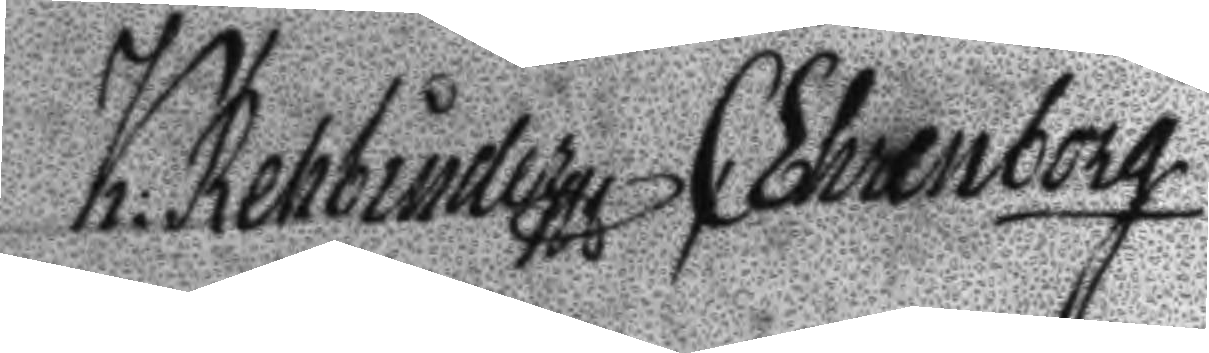K: Rehbinder C Ehrenborg
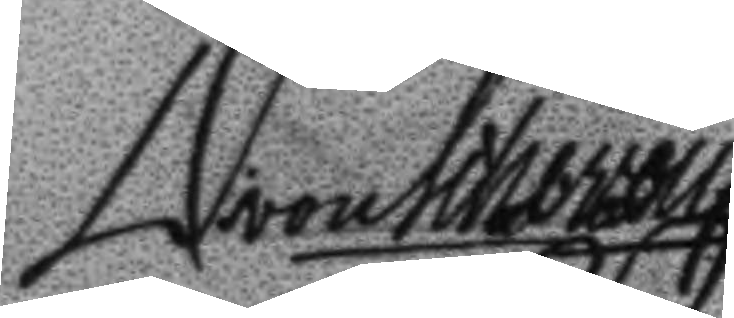D von Scheven
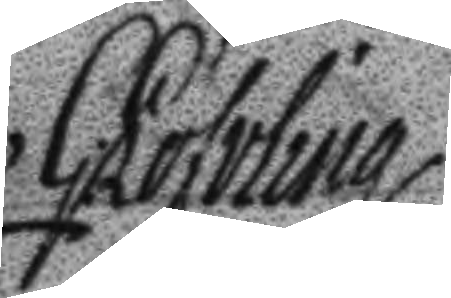G: Löfvling
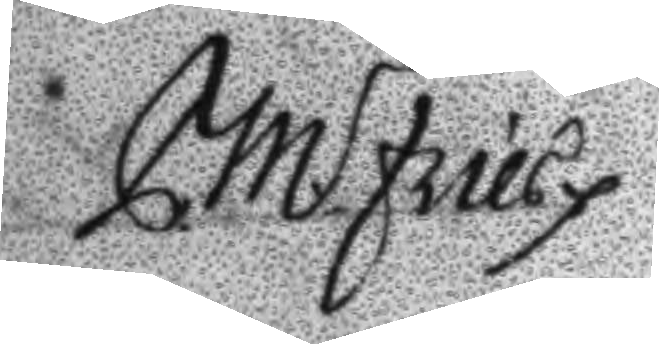C.M. Fries
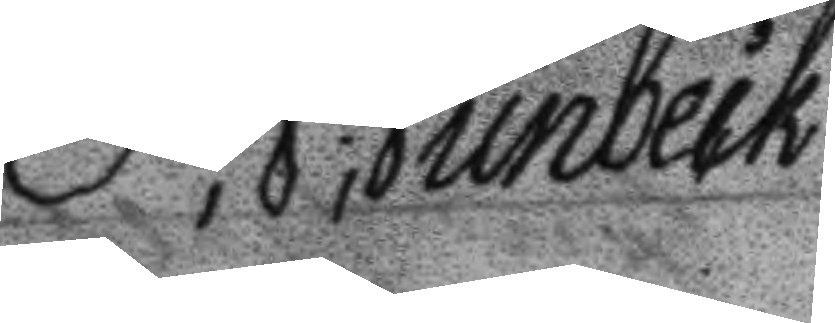P; J; Junbeck
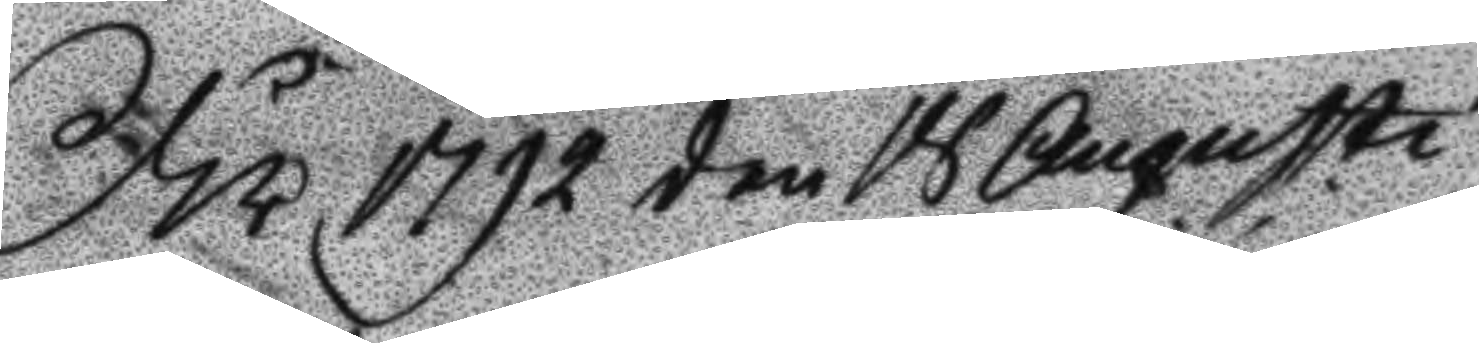År 1792 den 18 Augusti
